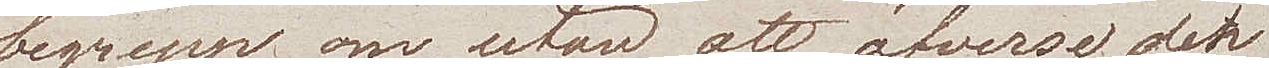begrepp om, utan att öfverse den
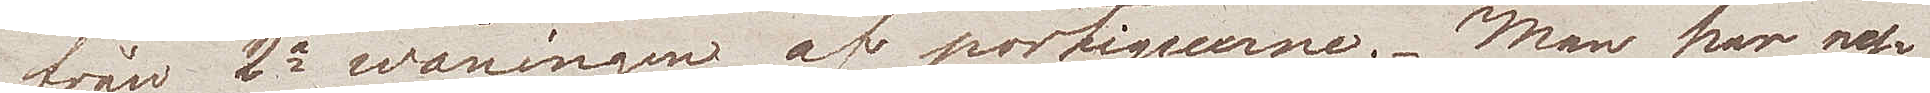från 2a wåningen af portiquerne. Man har ny¬
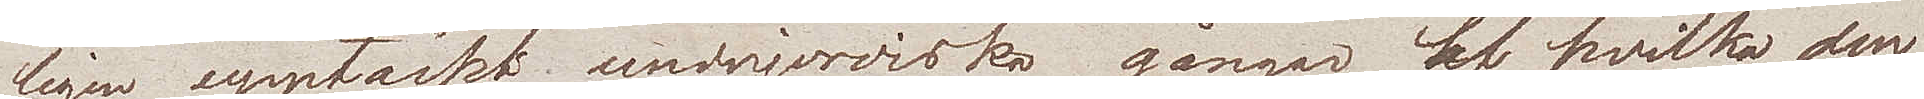ligen upptäckt underjordiska gångar, af hvilka den
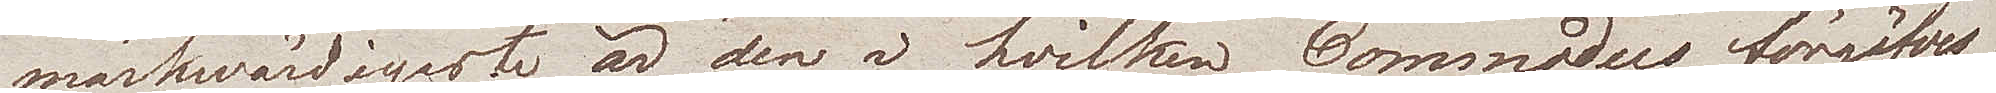märkwärdigaste är den i hvilken Commodus, förgäfves
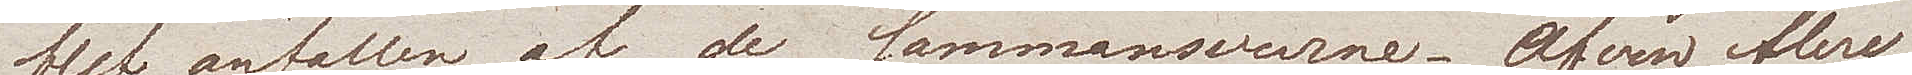blef anfallen af de sammansvurne. Äfven flere
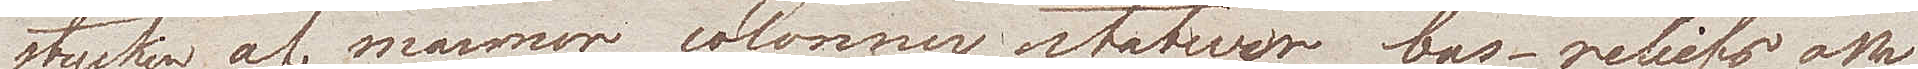stycken af marmor colonner, statuer, bas-reliefs ha
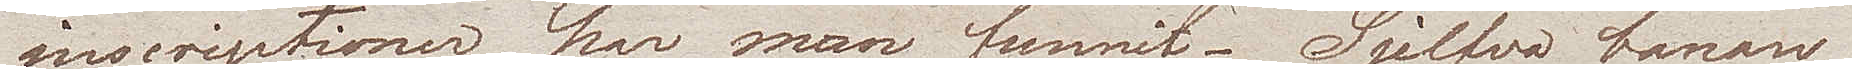inscriptioner har man funnit. Sjelfva banan
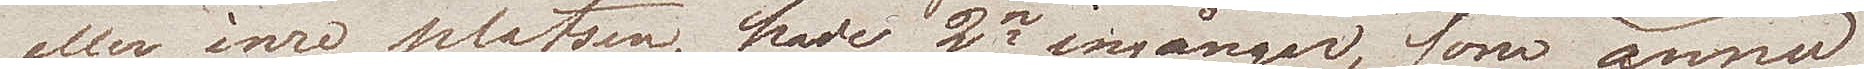eller inre platsen, hade 2ne ingångar, som ännu
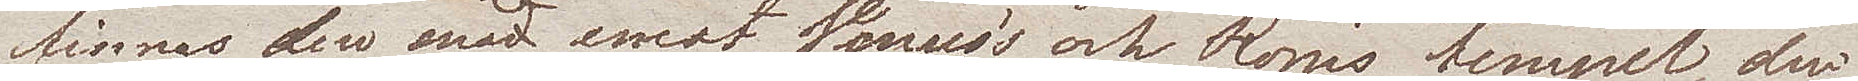finns der midt emot Venus's och Roms tempel, den
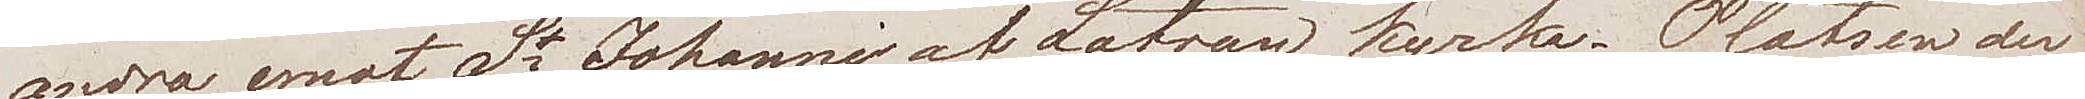andra emot St Johanni af Latran kyrka. Platsen der
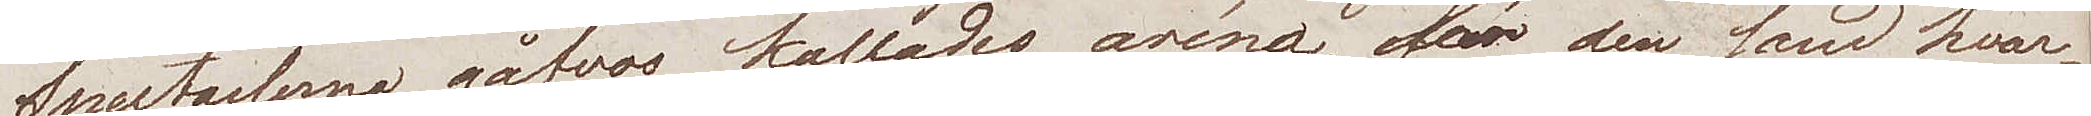Spectaclerne gåfvos, kallades aréna för den sand hvar¬
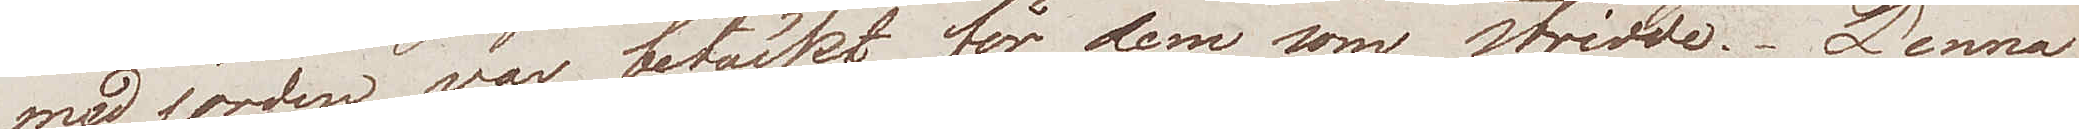med jorden var betäckt, för dem som  stridde. Denna
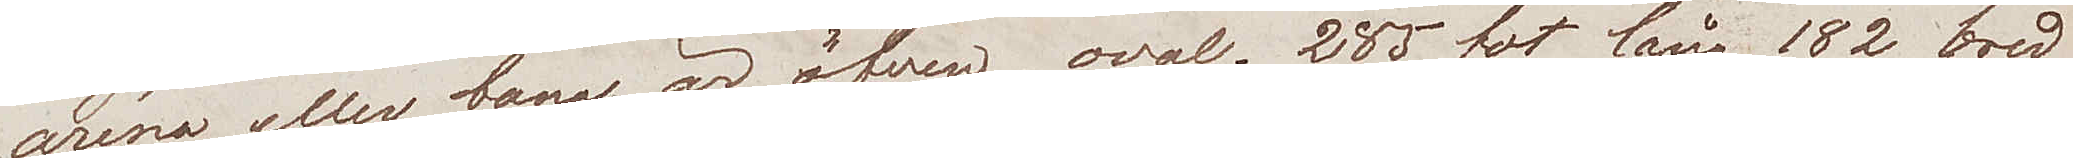aréna eller bana är äfven oval. 285 fot lång, 182 bred
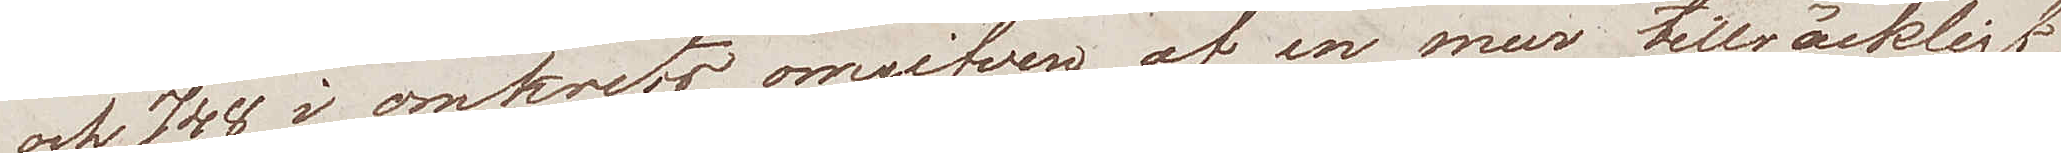och 748 i omkrets, omgifven af en mur tillräckligt
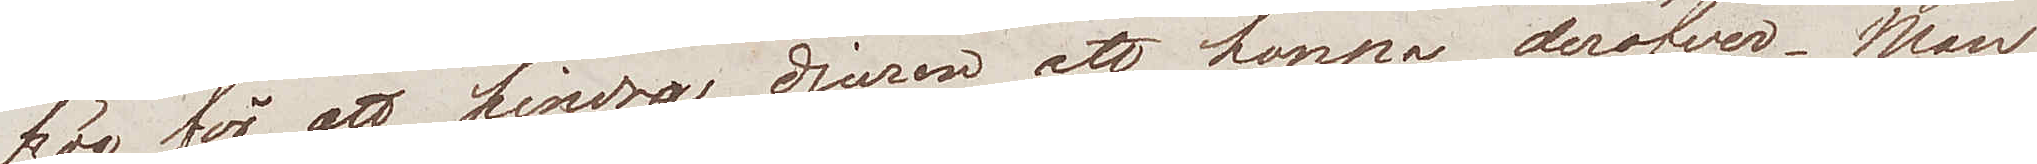hög för att hindra djuren att hoppa deröfver. Man
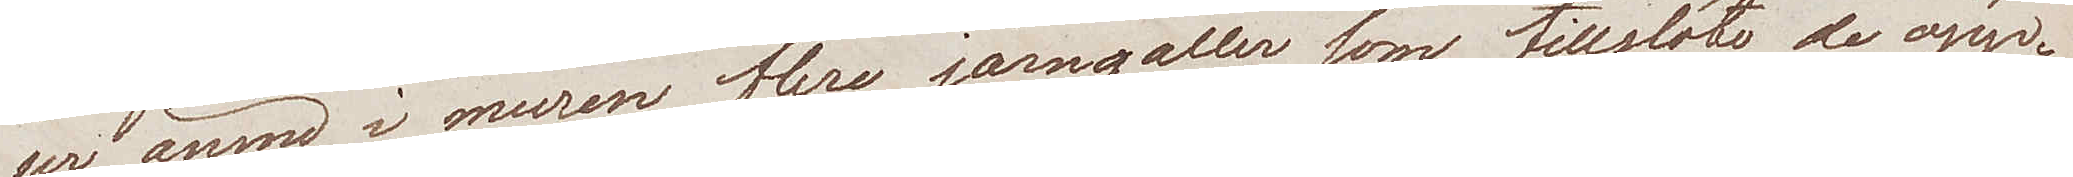ser ännu i muren flere järngaller som tillslöto de öpp¬
